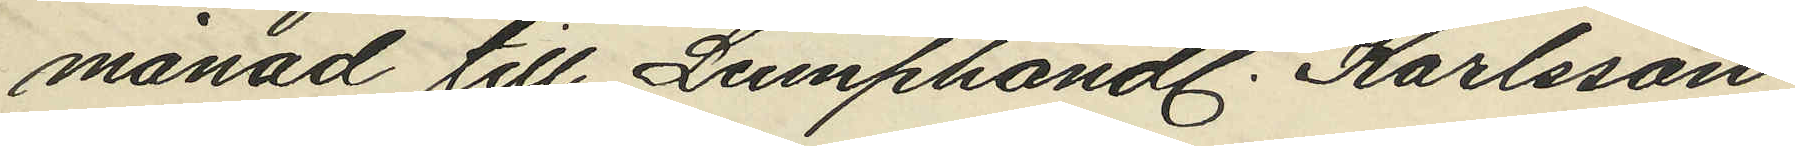månad till Lumphandl. Karlsson
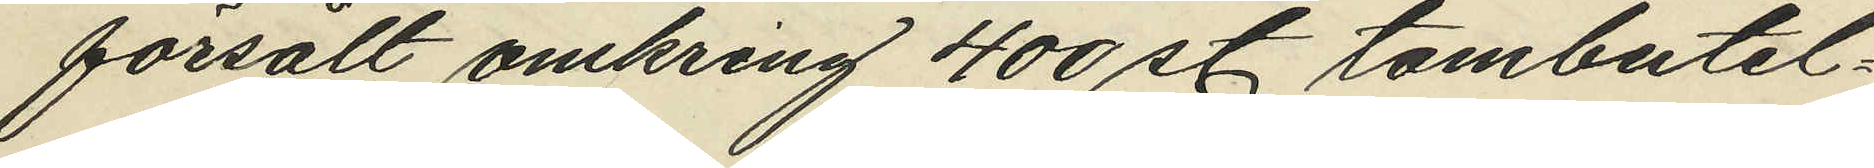försålt omkring 400 st tombutel¬
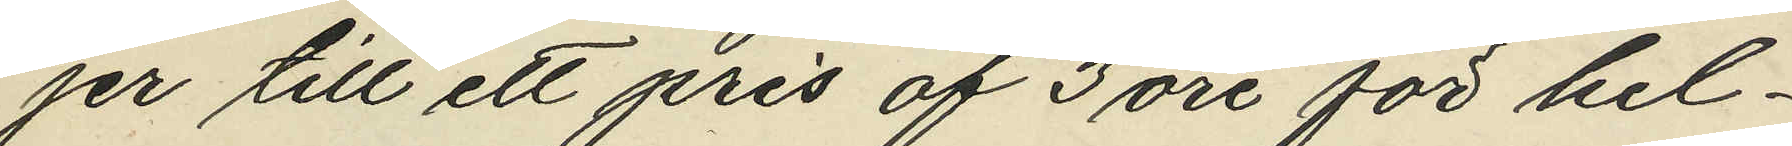jer till ett pris af 3 öre för hel¬
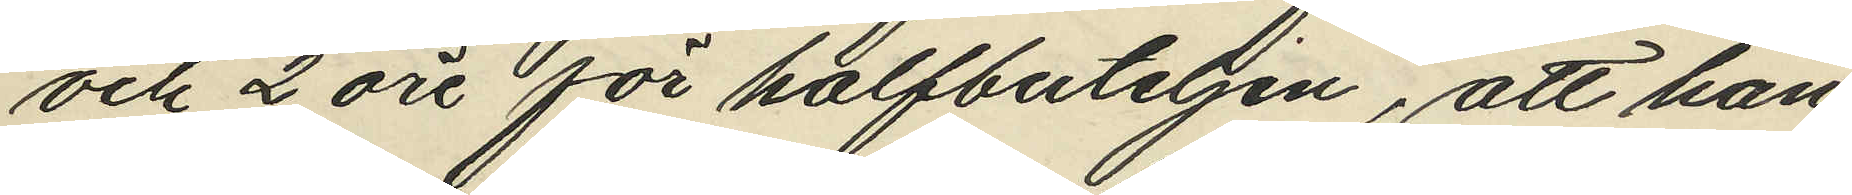och 2 öre för halfbuteljen, att han
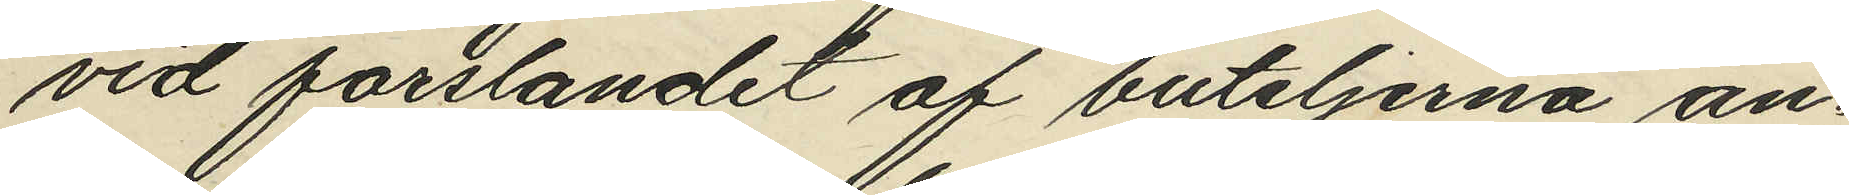vid forslandet af buteljerna an¬
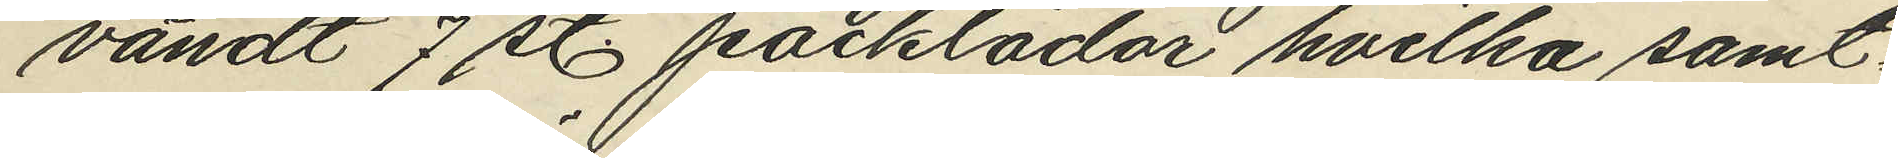vändt 7 st. packlådor hvilka samt¬
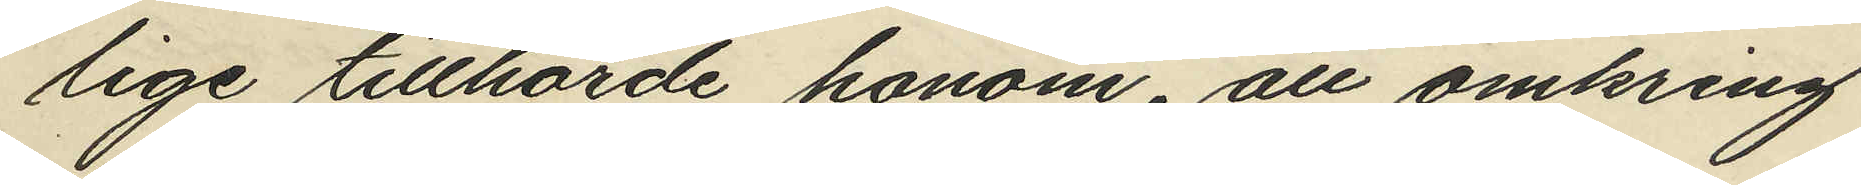lige tillhörde honom, att omkring
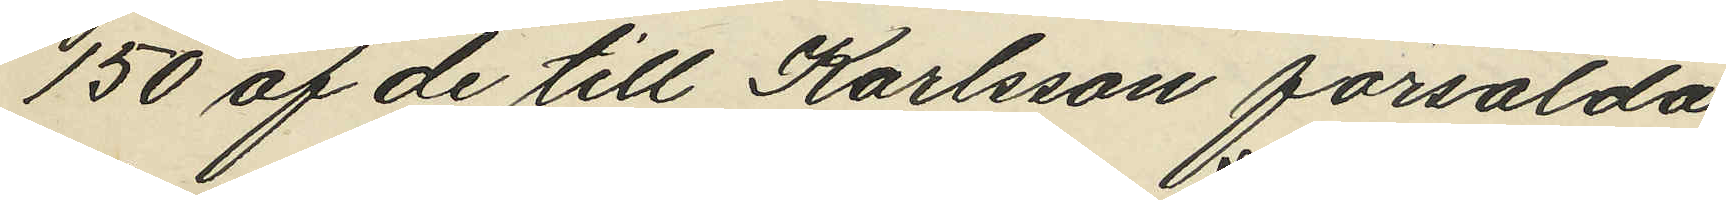150 af de till Karlsson försålda
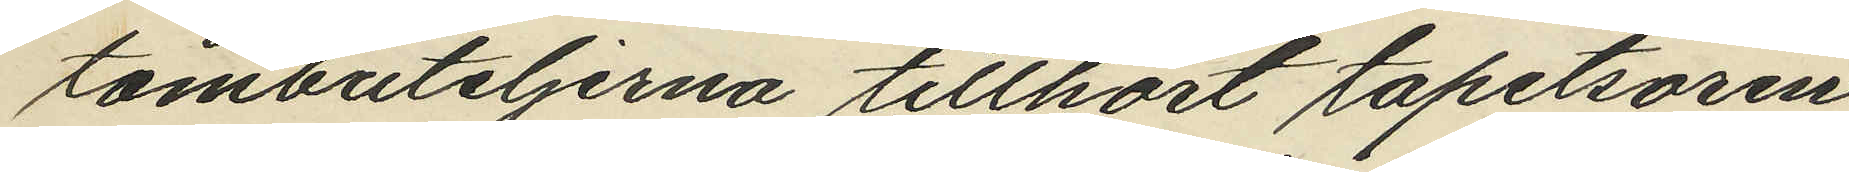tombuteljerna tillhört tapetsören
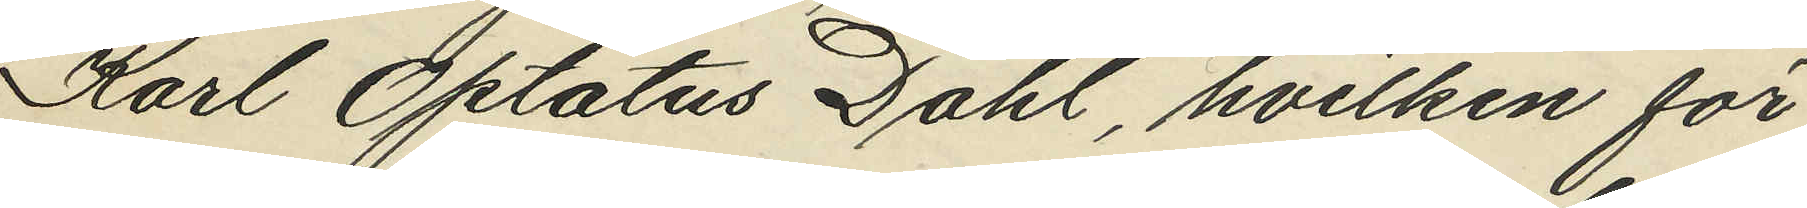Karl Optatus Dahl, hvilken för
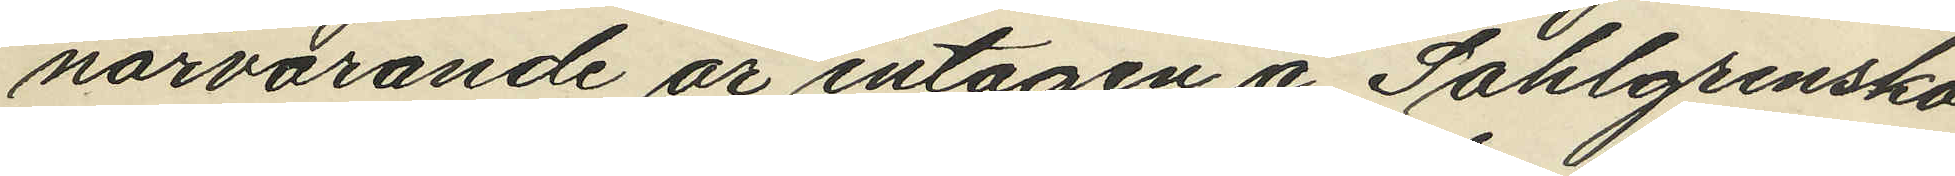närvarande är intagen å Sahlgrenska
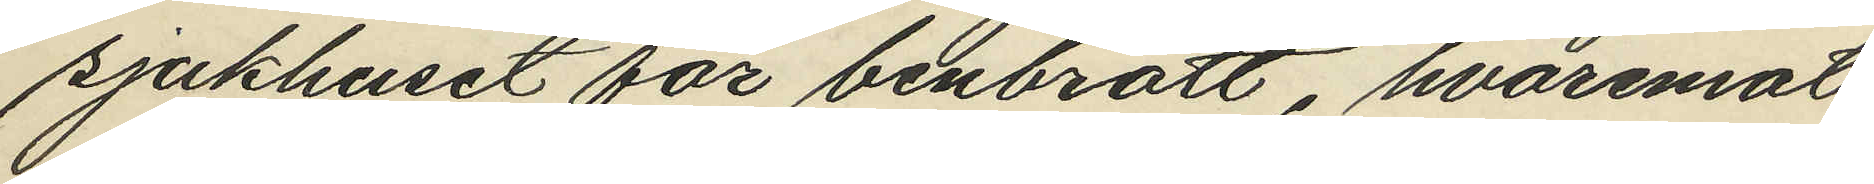sjukhuset för benbrott, hvaremot
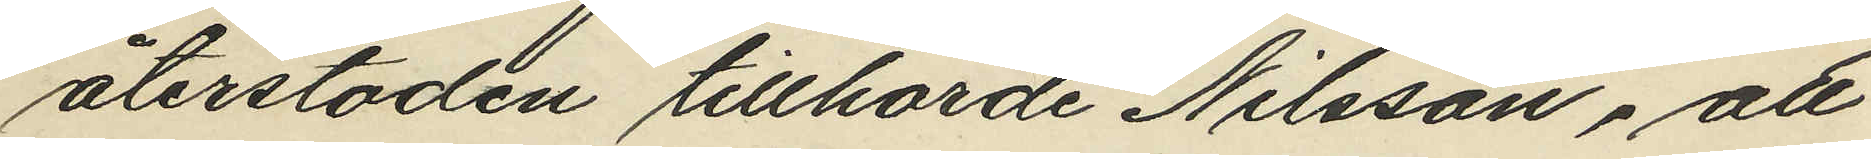återstoden tillhörde Nilsson, att
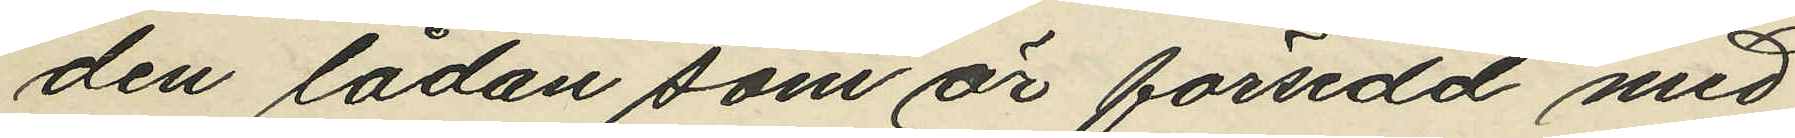den lådan som är försedd med
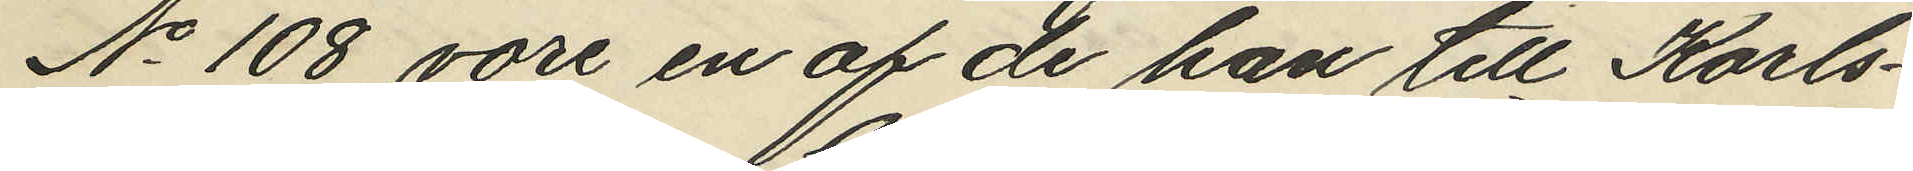No 108 vore en af de han till Karls¬
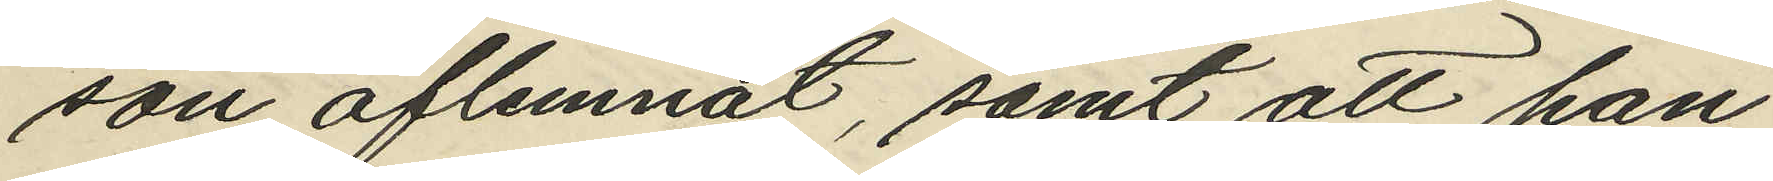son aflemnat, samt att han
